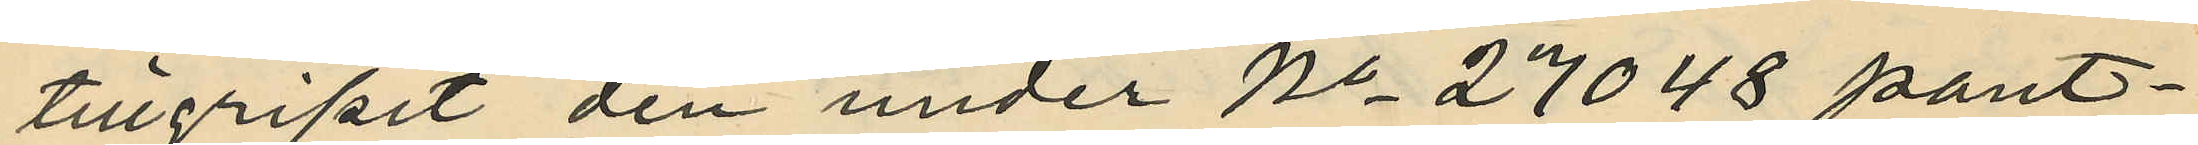tillgripit den under No 27048 pant¬
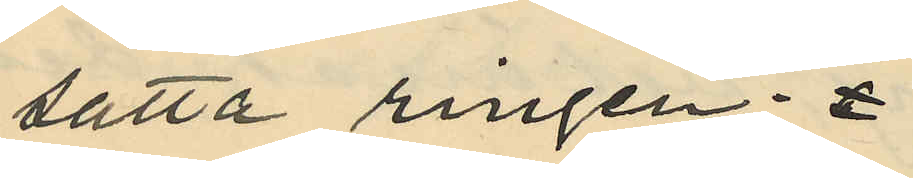satta ringen;
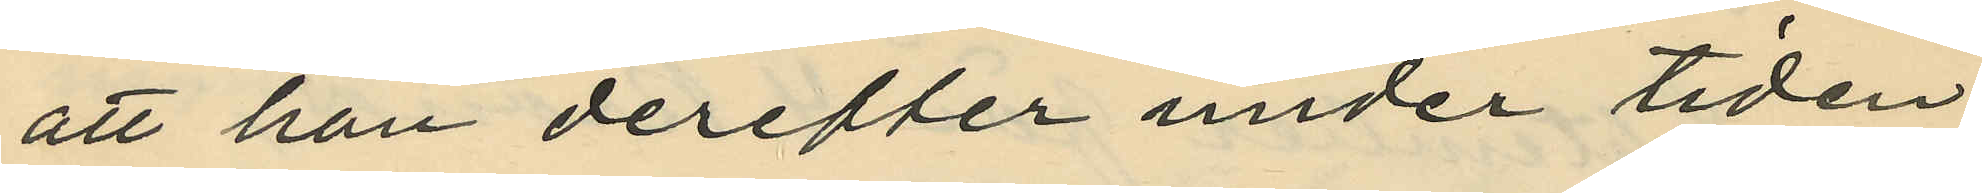att han derefter under tiden
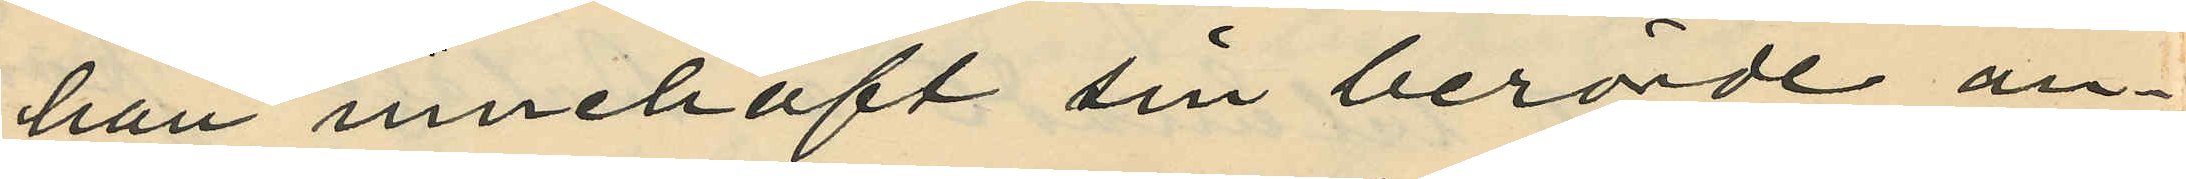han innehaft sin berörde an¬
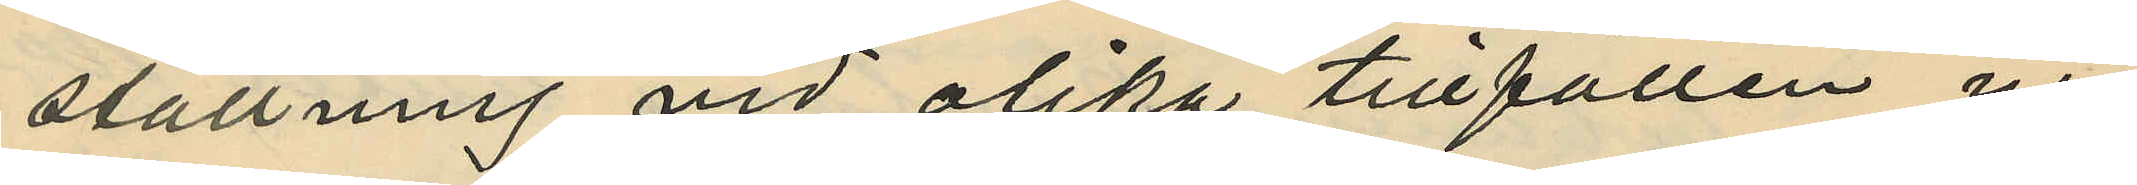ställning vid olika tillfällen ur
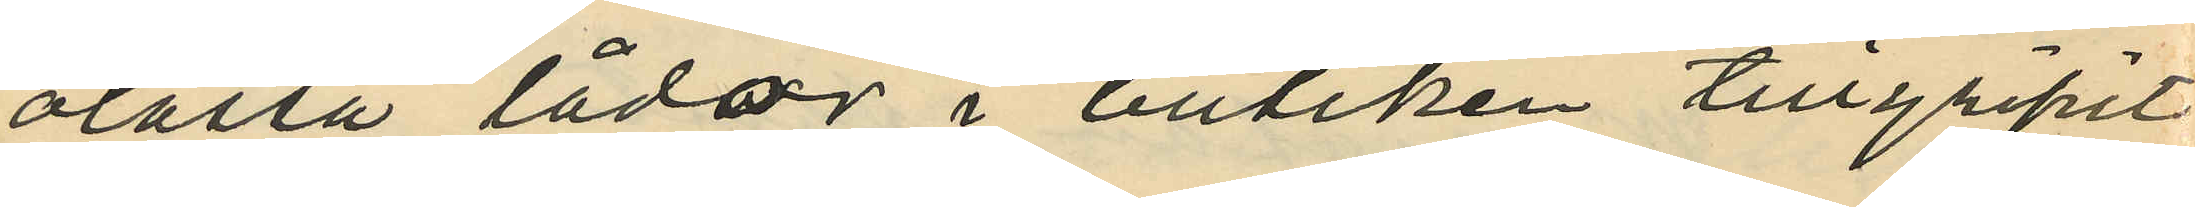olåsta lådor i butiken tillgripit
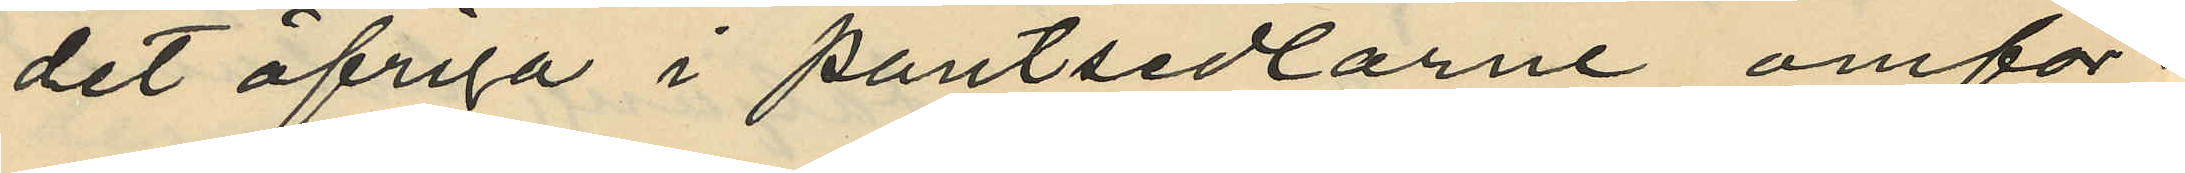det öfriga i pantsedlarne omför¬
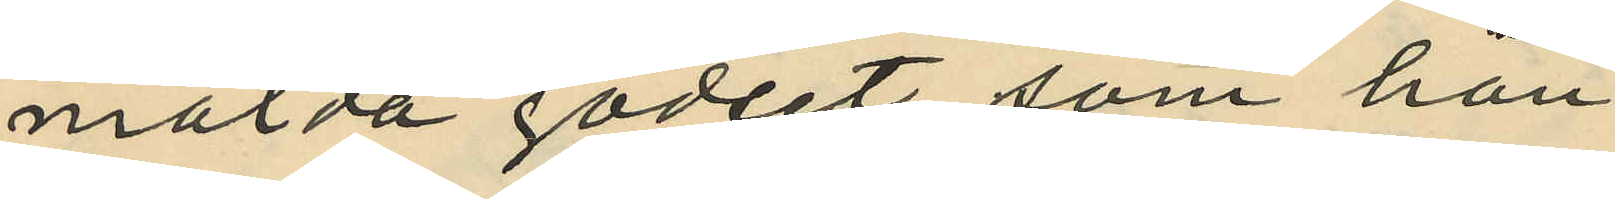mälda godset, som han
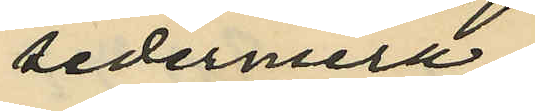sedermera
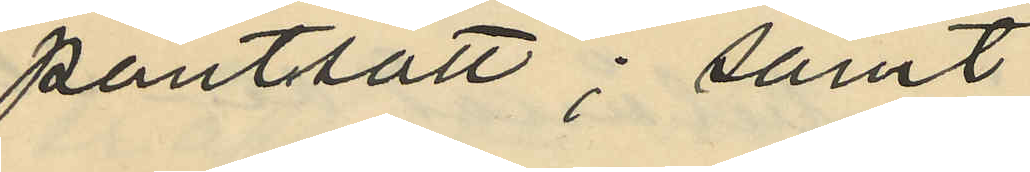pantsatt; samt
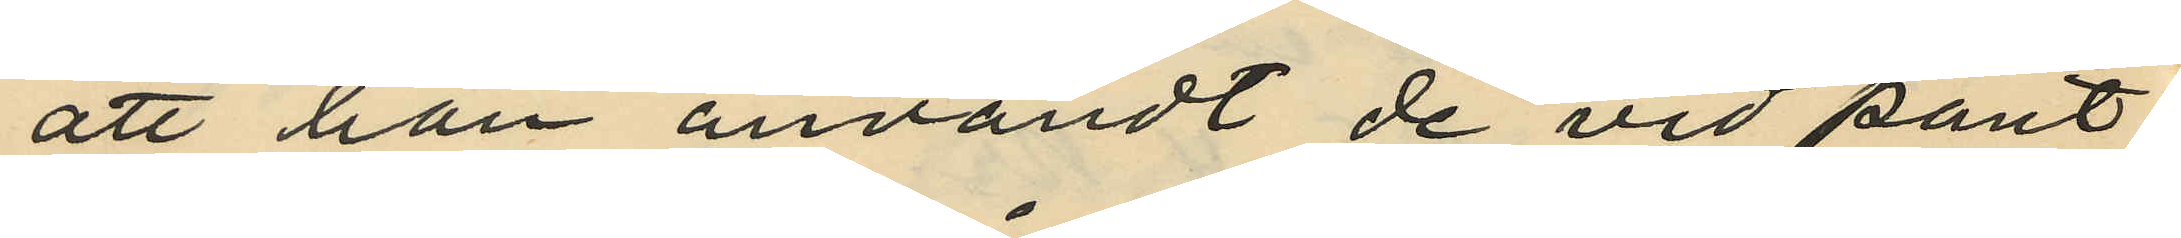att han användt de vid pant¬
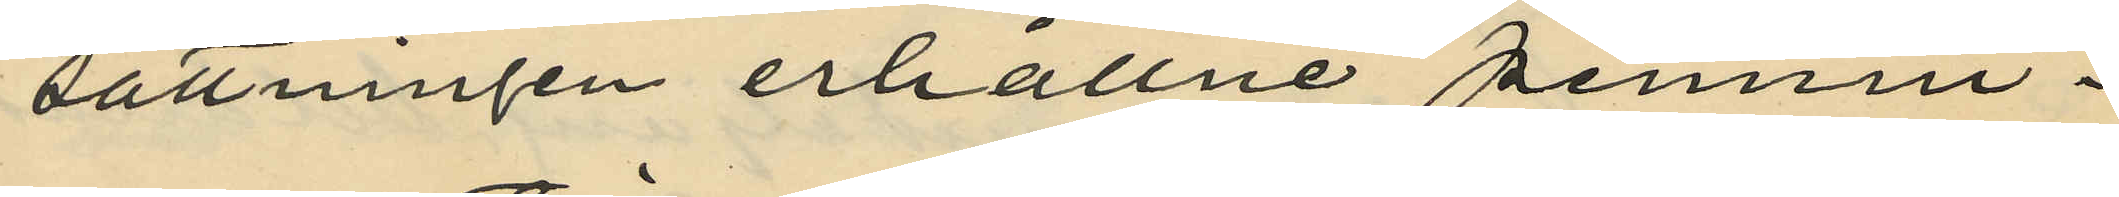sättningen erhållne pennin¬
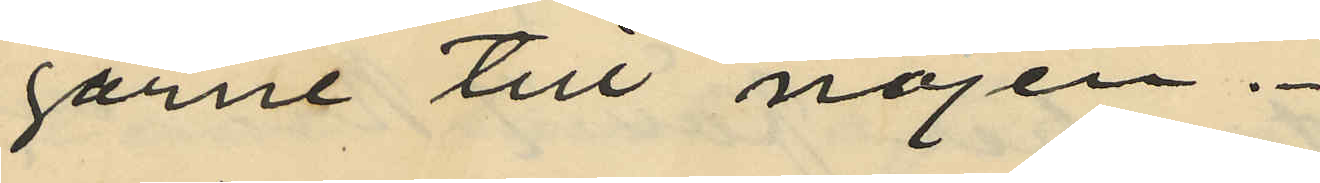garne till nöjen.
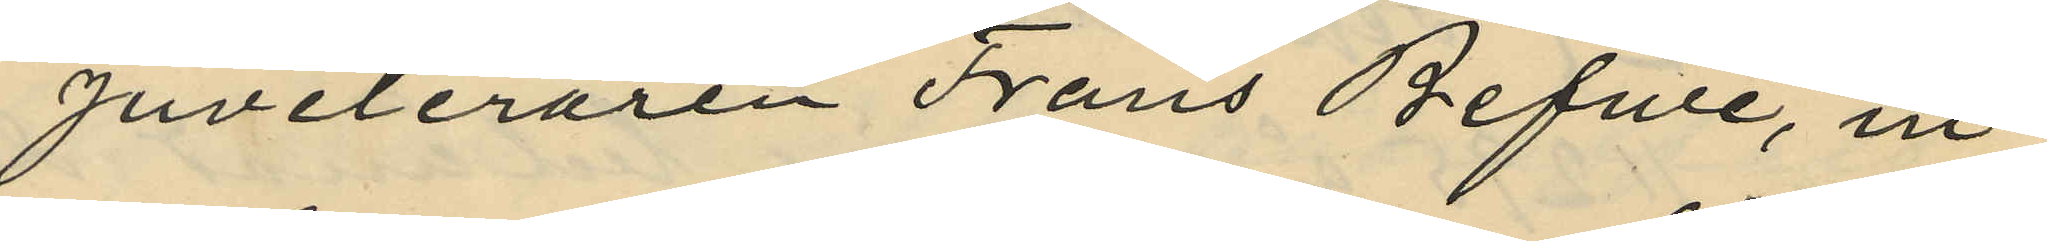Juveleraren Frans Befwe, in¬
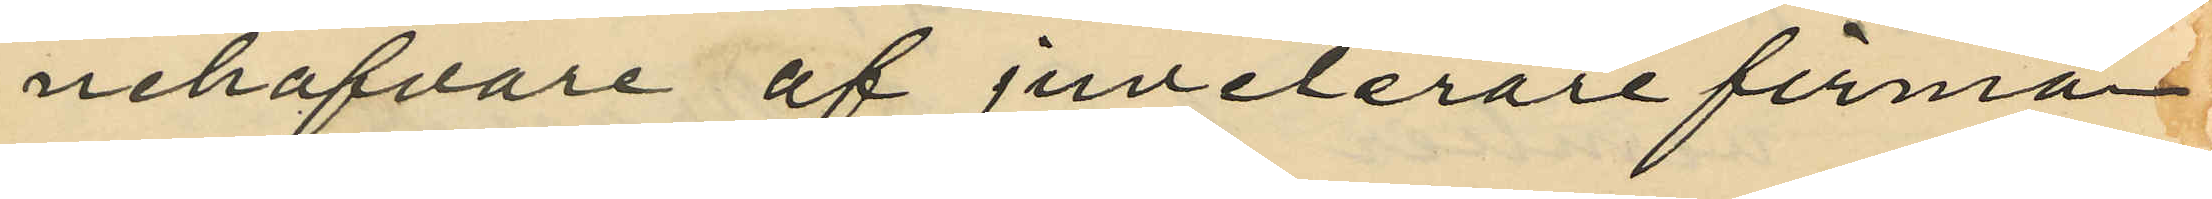nehafvare af juvelerarefirman
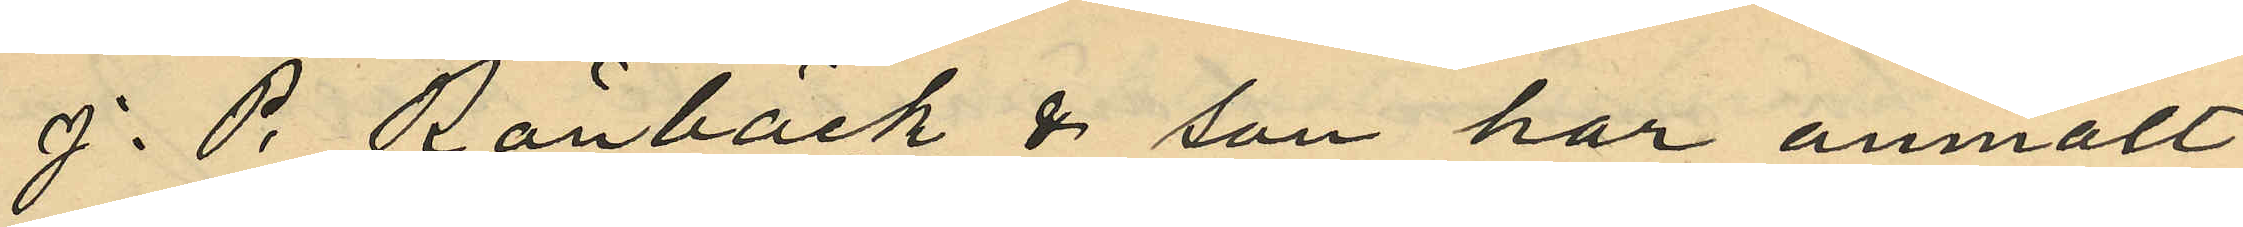J. P. Rönbäck & son har anmält
